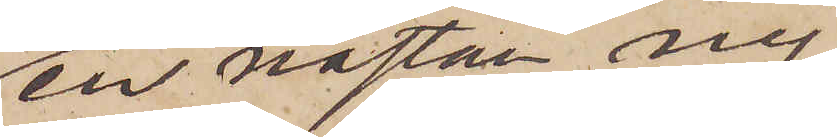en nästan ny
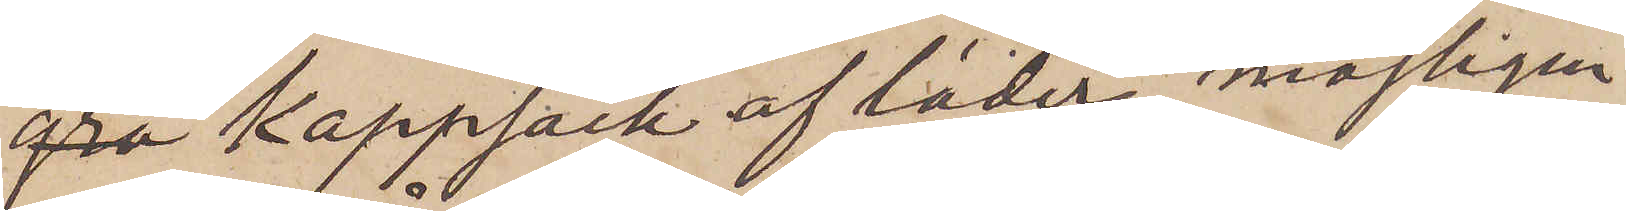grå kappsäck af läder, möjligen
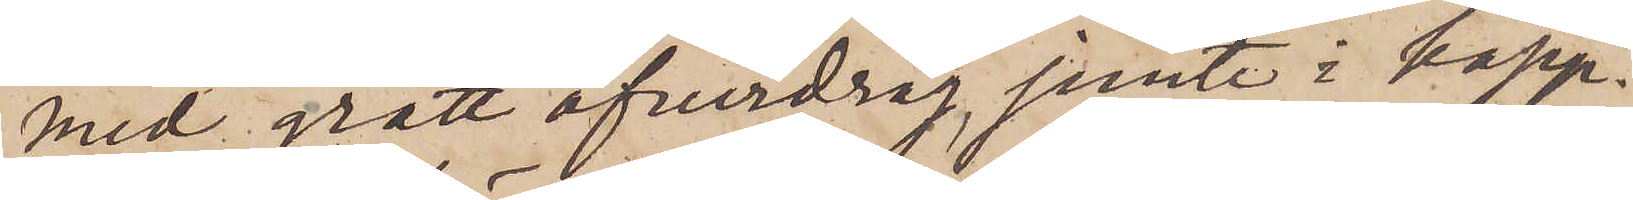med grått öfverdrag, jemte i kapp¬
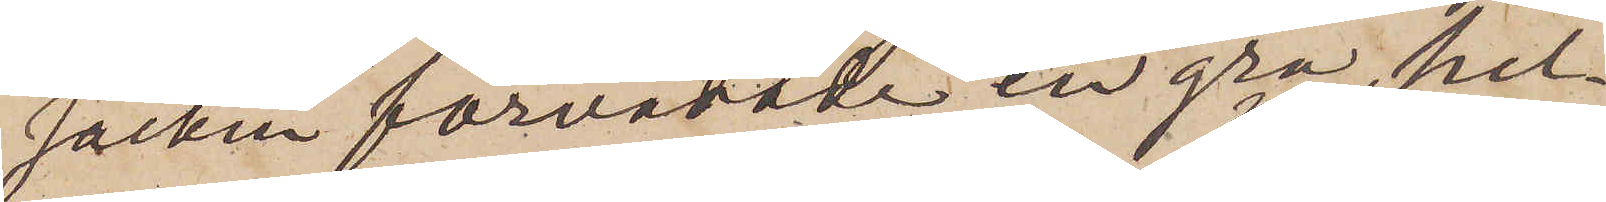säcken förvarade en grå hel¬
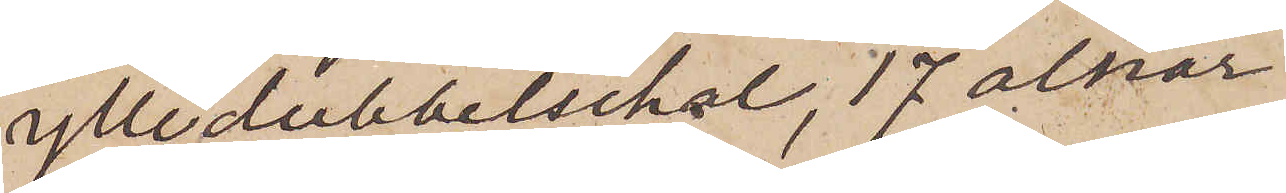ylledubbelschal, 17 alnar
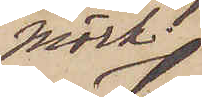mörk
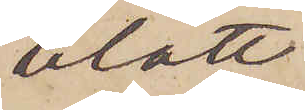blått
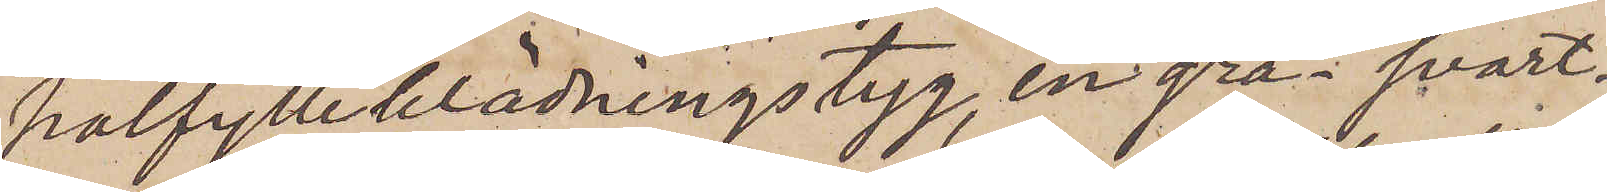halfylleklädningstyg, en grå svart¬
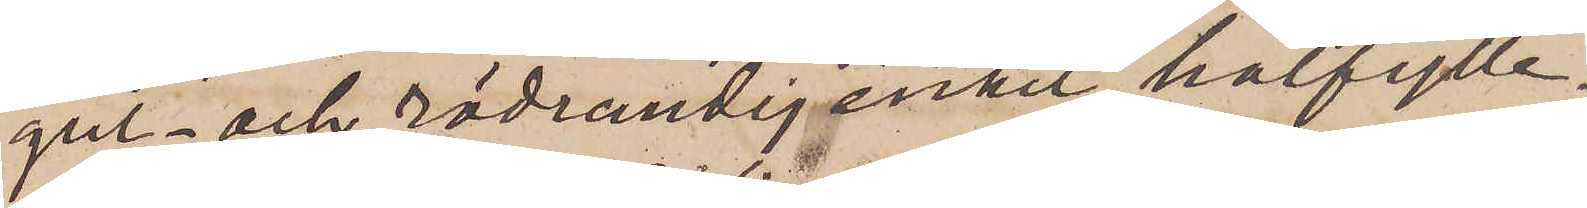gul- och rödrandig enkel halfylle¬
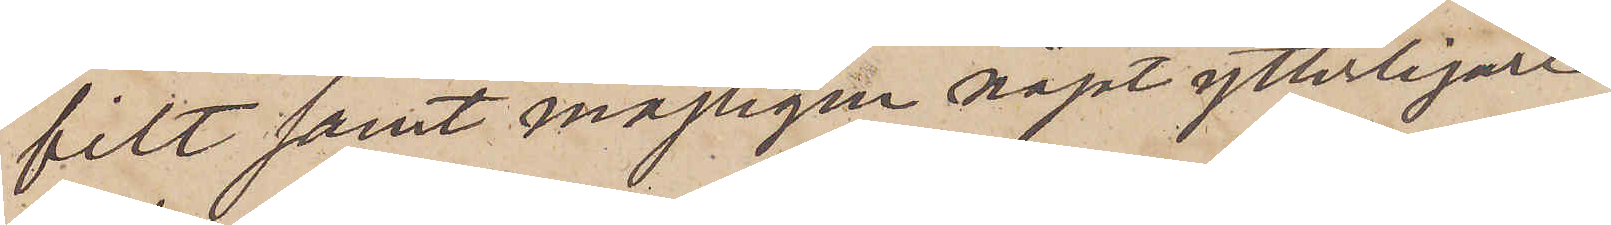filt samt möjligen något ytterligare
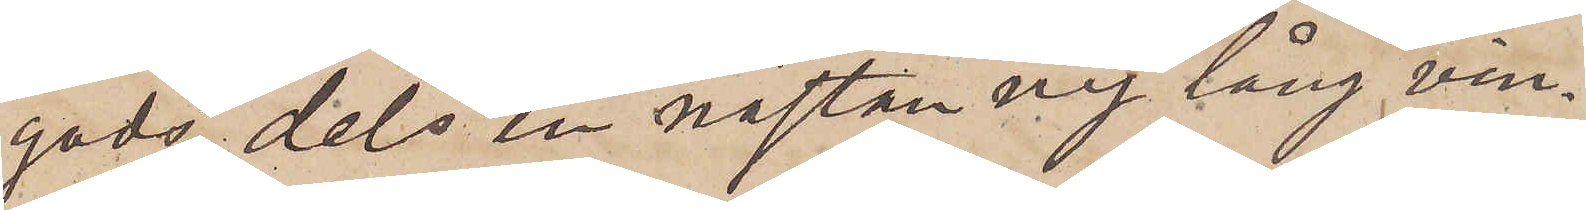gods, dels en nästan ny lång vin¬
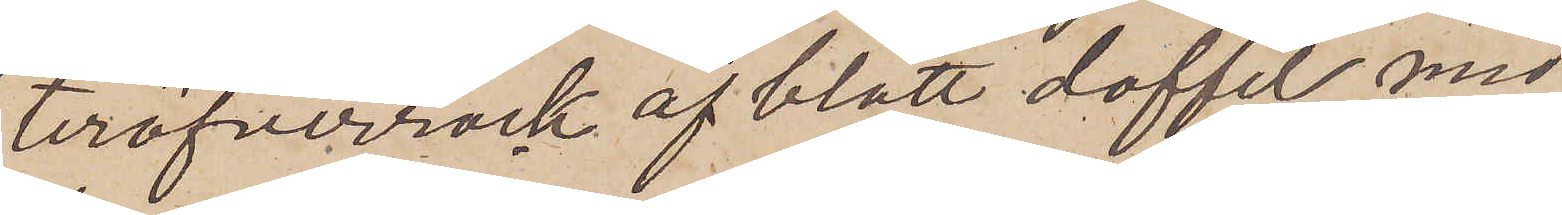teröfverrock af blått doffel med
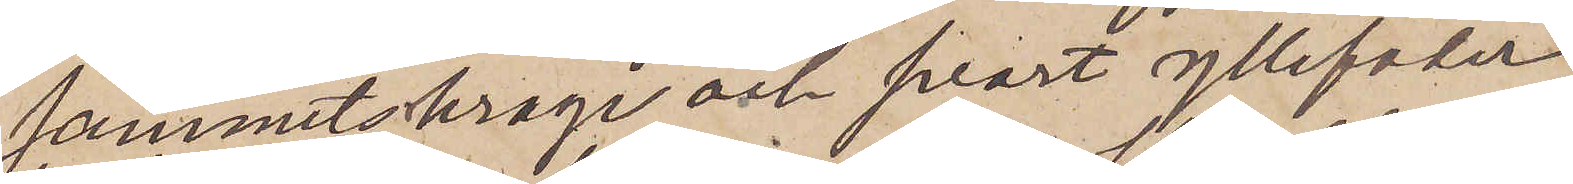sammetskrage och svart yllefoder
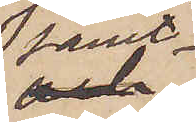samt
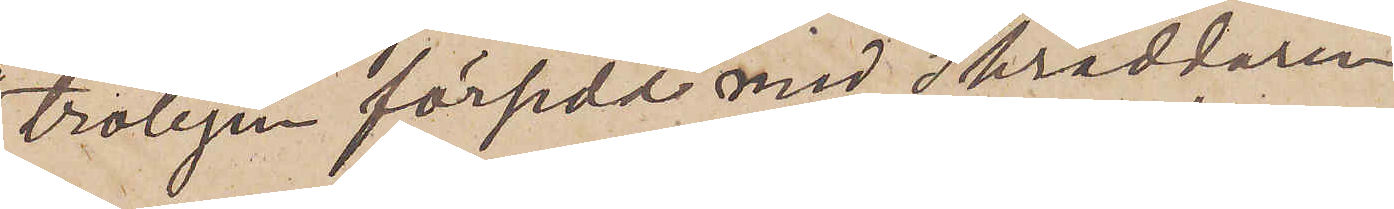troligen försedd med Skräddaren
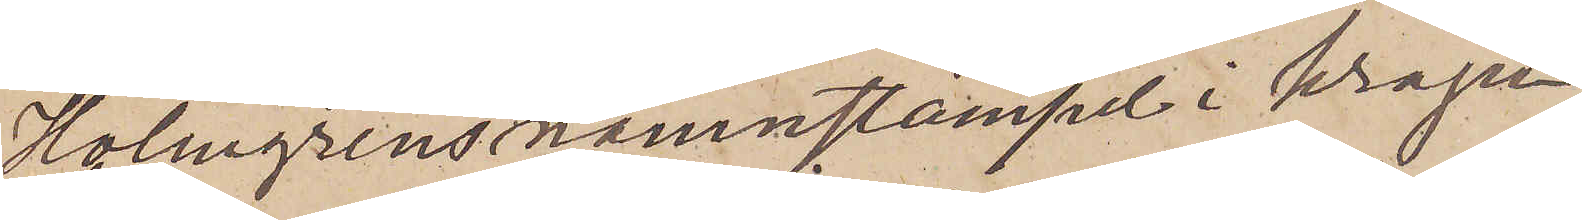Holmgrens namnstämpel i kragen,
